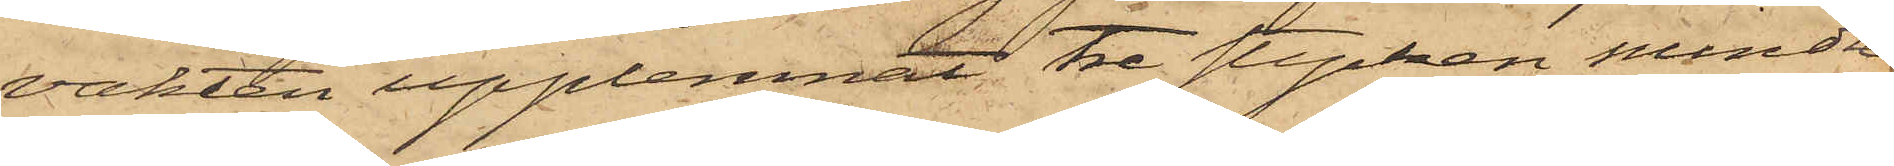vakten upplemnat tre stycken mindre
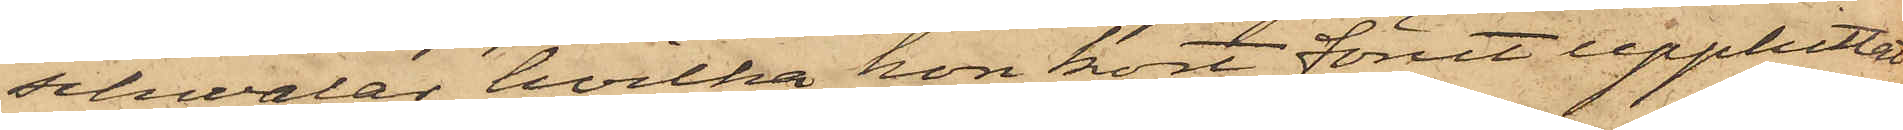schwalar, hvilka hon kort förut upphittat
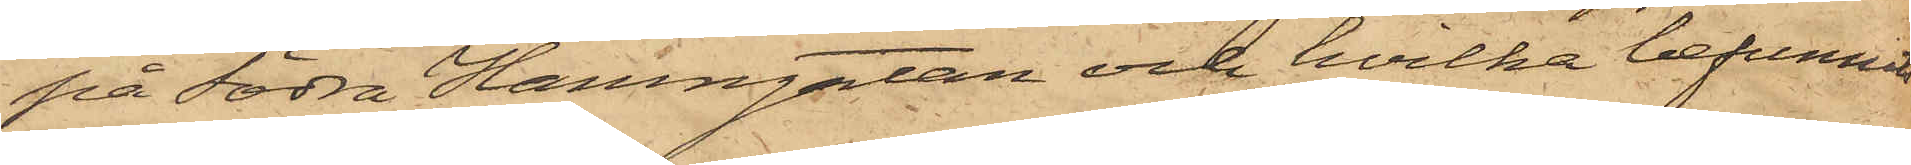på Södra Hamngatan och hvilka befunnits
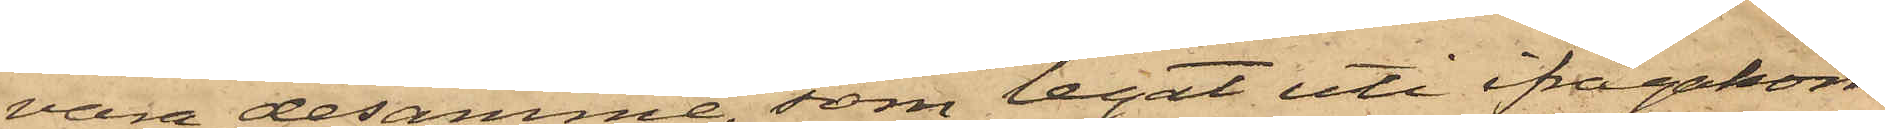vara desamme, som legat uti ifrågakom¬
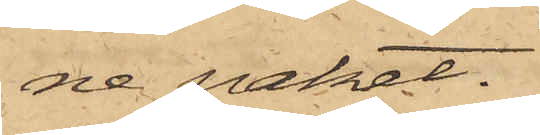ne paket.
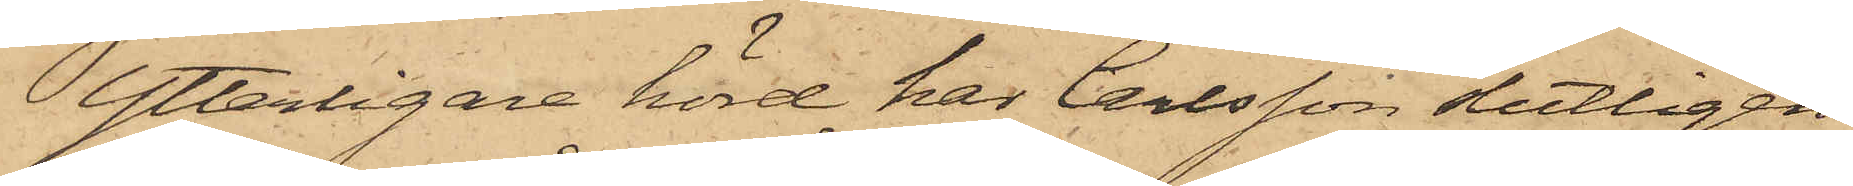Ytterligare hörd har Carlsson slutligen
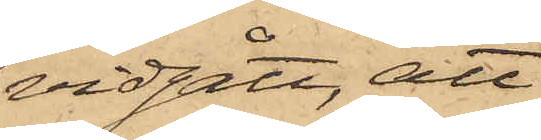vidgått, att
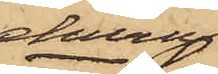ehuru
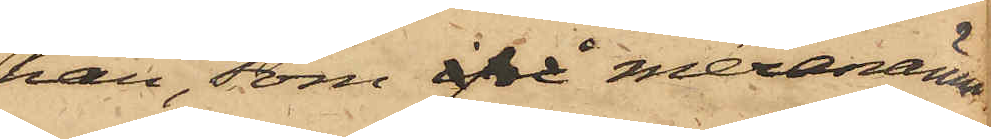han, som ifrå meranämn¬
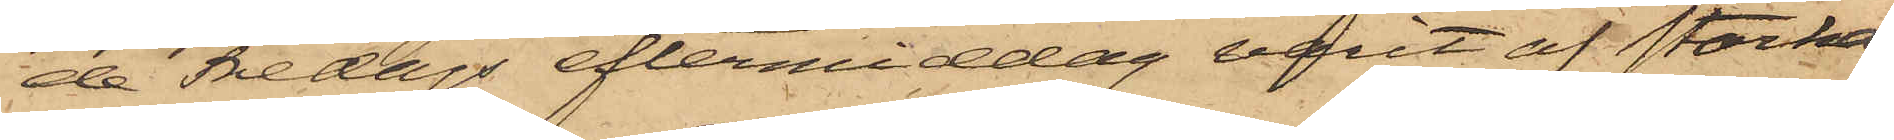de Fredags eftermiddag varit af starka
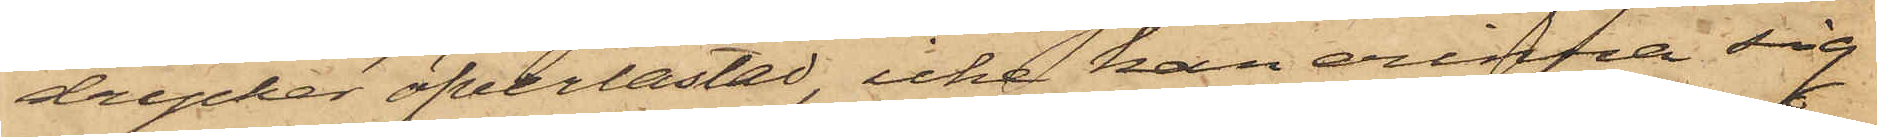drycker öfverlastad, icke kan erinra sig
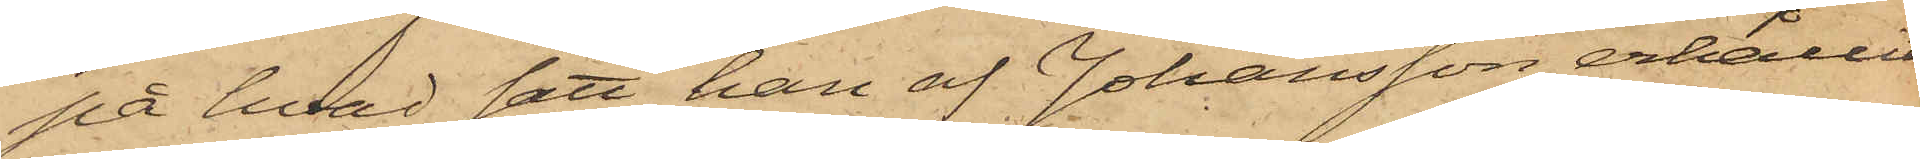på hvad sätt han af Johansson erhållit
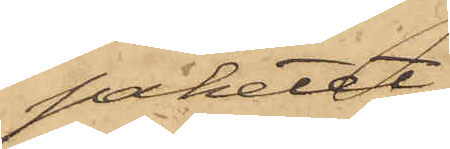paketet,
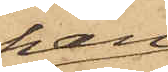han
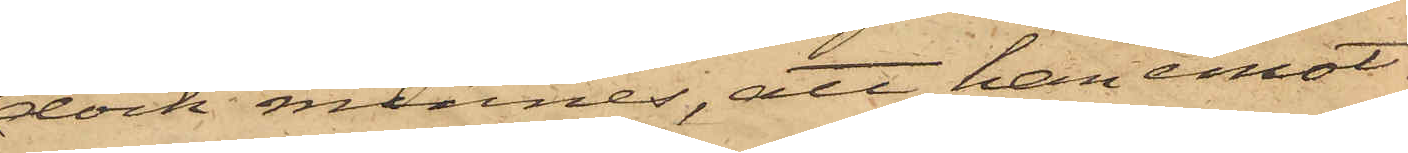dock minnes, att han emot¬
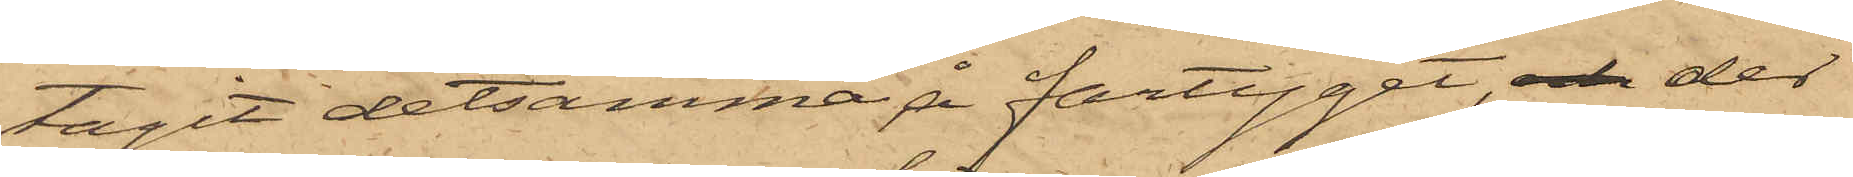tagit detsamma å fartyget, och der
